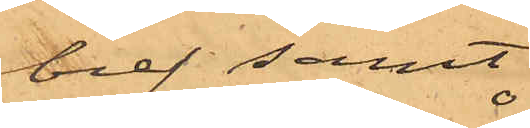bref samt
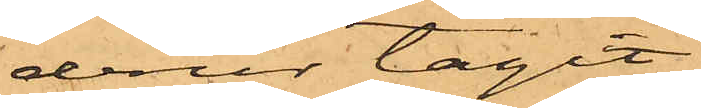derur tagit
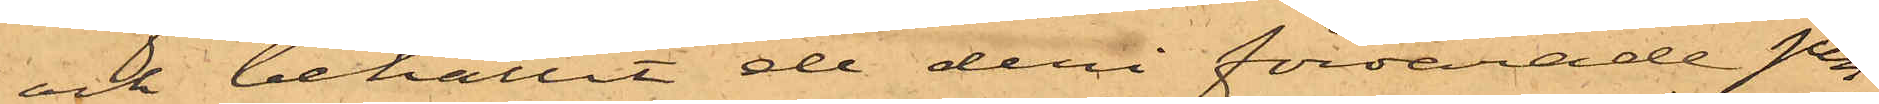och behållit de deri förvarade pen¬
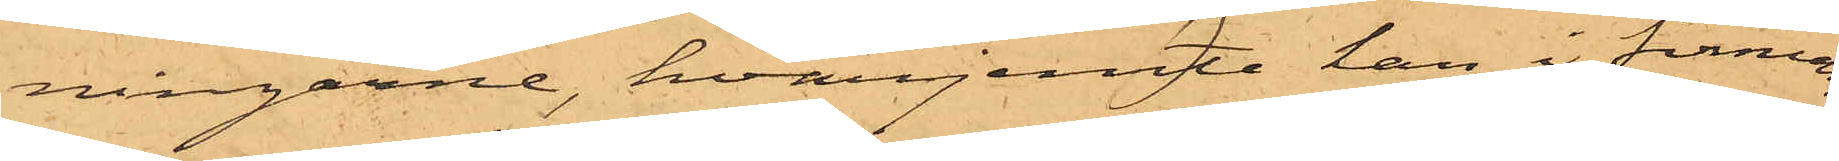ningarne, hvarjemte han i firmans
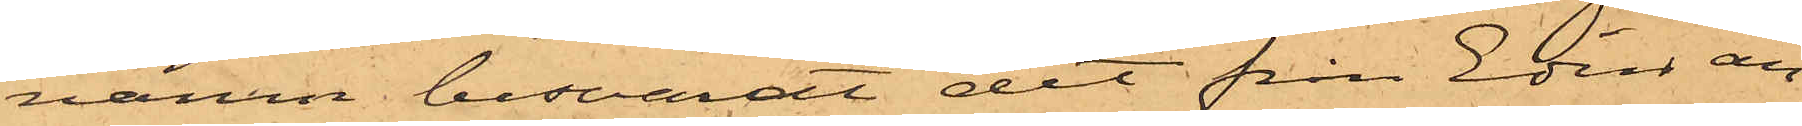namn besvarat det från Edin an¬
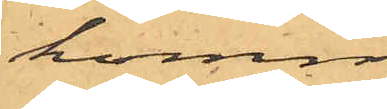komne
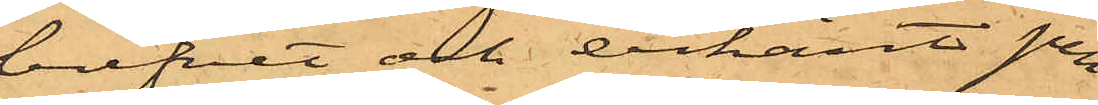brefvet och erkänt pen¬
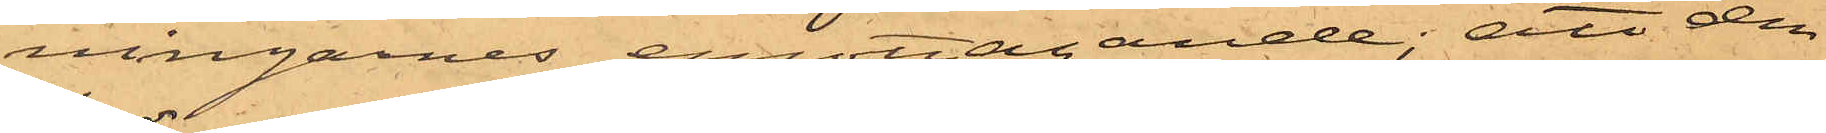ningarnes emottagande; att den
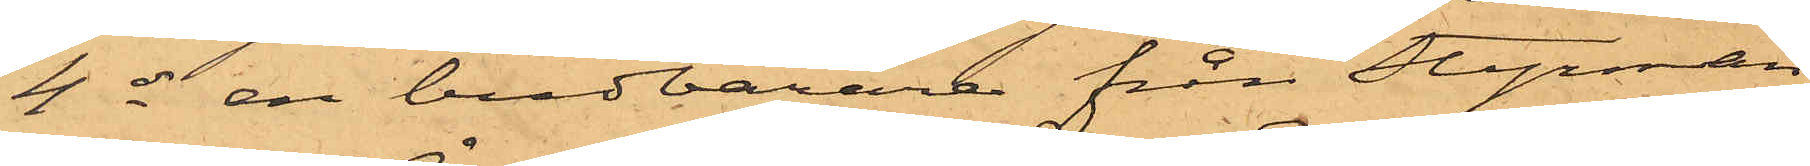4 ds en budbärare från Styrman¬
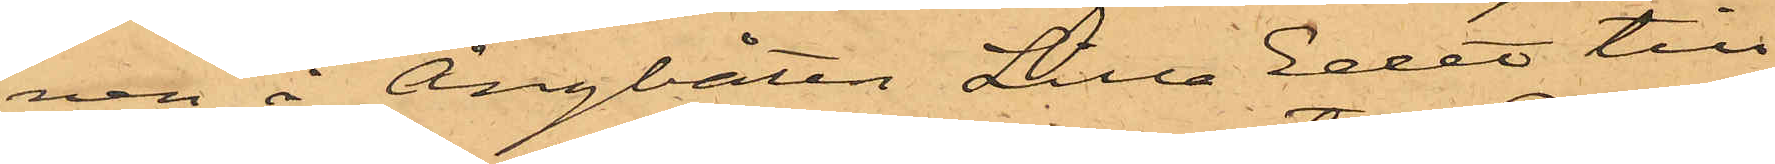nen å Ångbåten Lilla Edet till
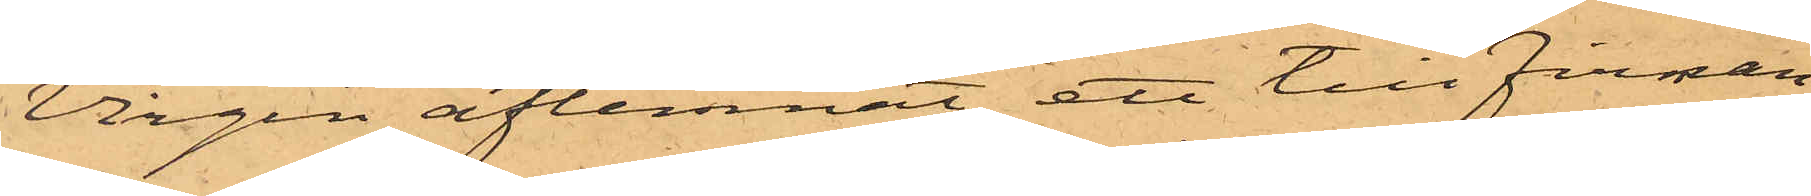Virgin aflemnat ett till Firman
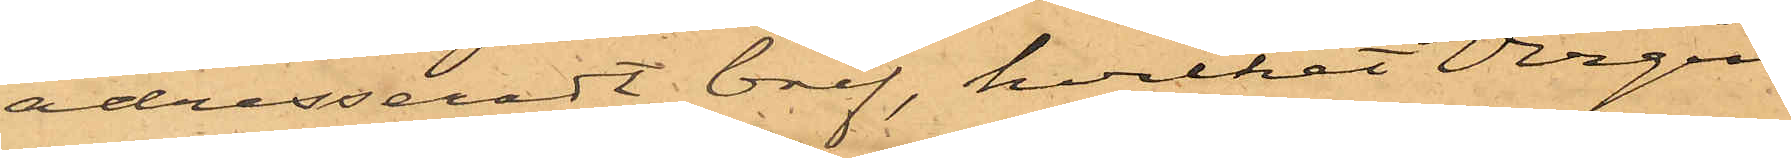adresseradt bref, hvilket Virgin
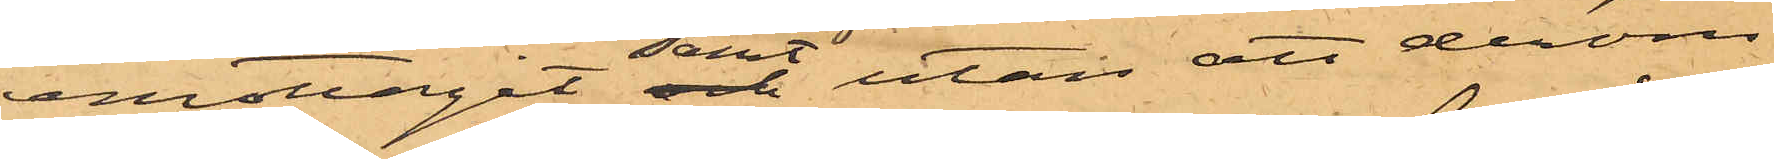emottagit samt utan att derom
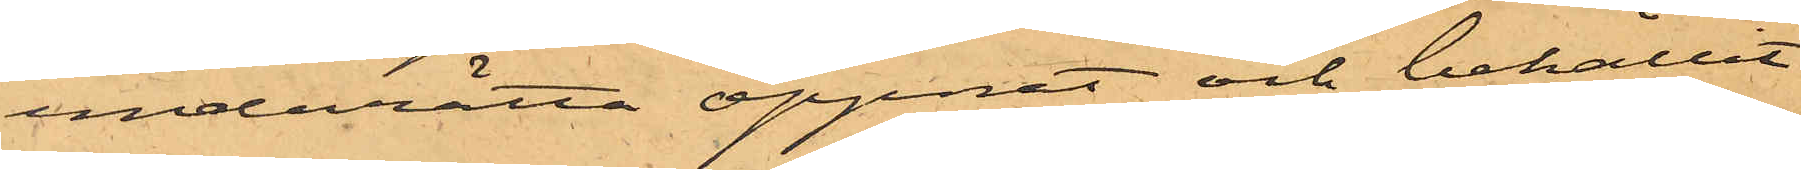underrätta öppnat och behållit
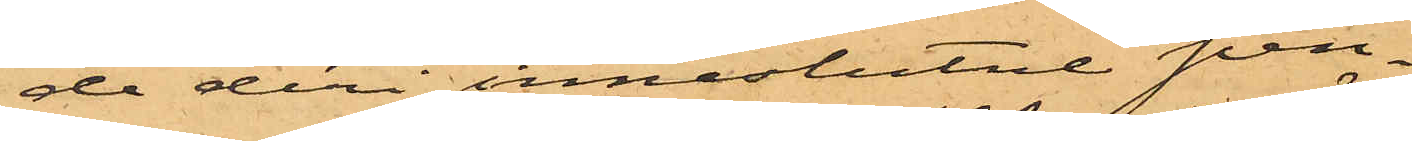de deri inneslutne pen¬
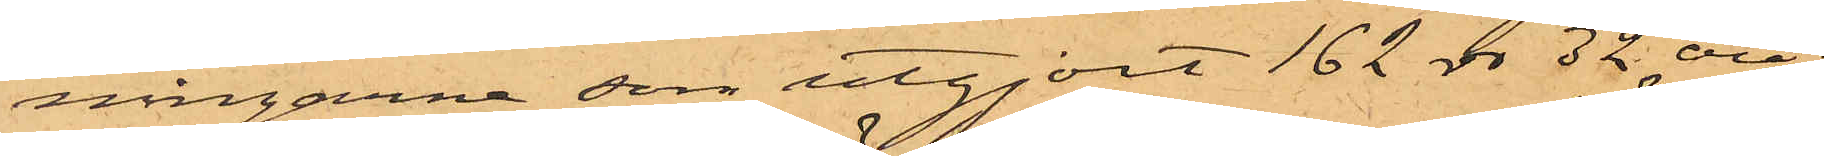ningarne som utgjort 162 rdr 32 öre;
